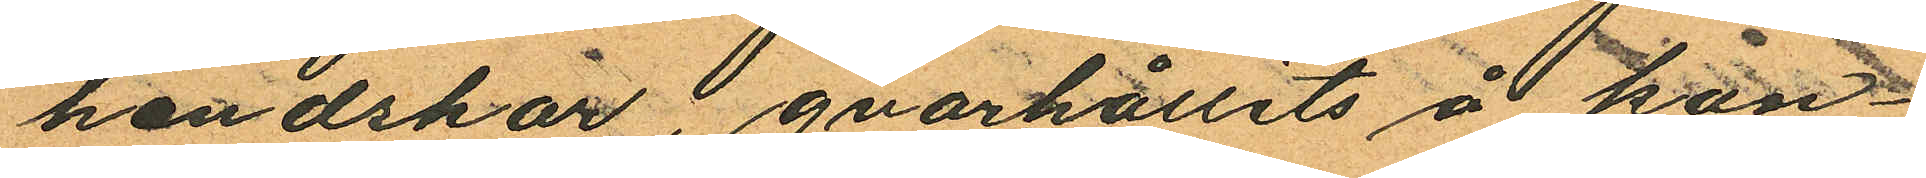handskar, qvarhållits å kon¬
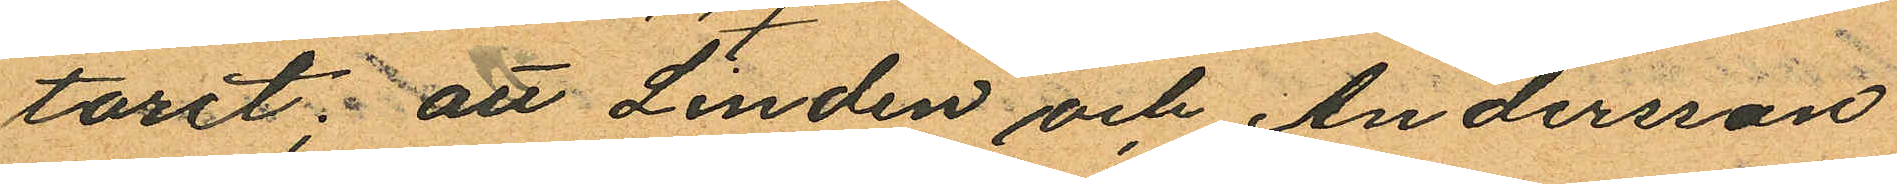toret; att Linden och Andersson
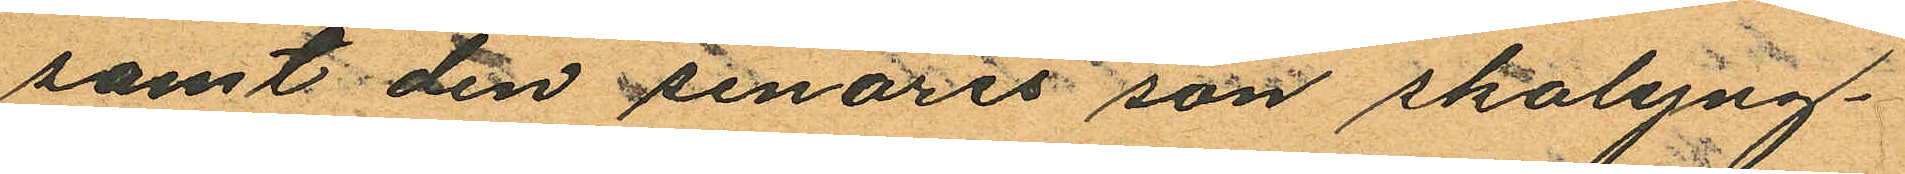samt den senares son skolyng¬
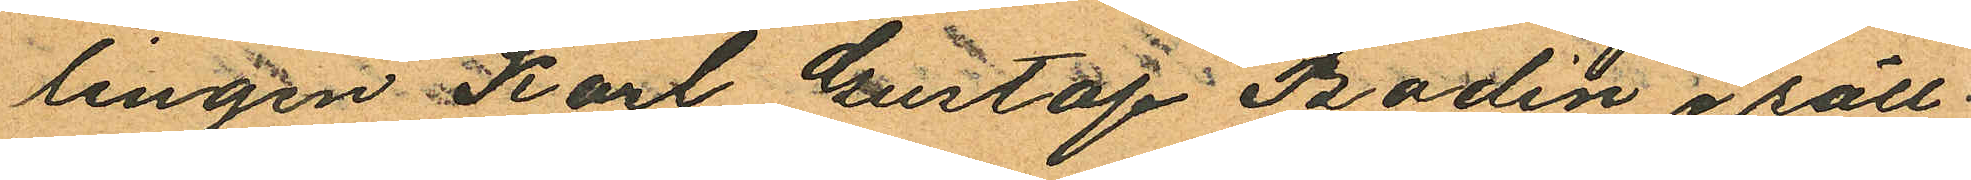lingen Karl Gustaf Bodén i säll
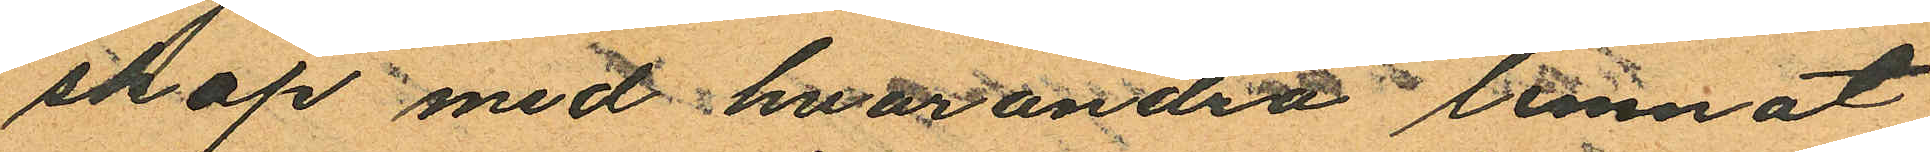skap med hvarandra lemnat
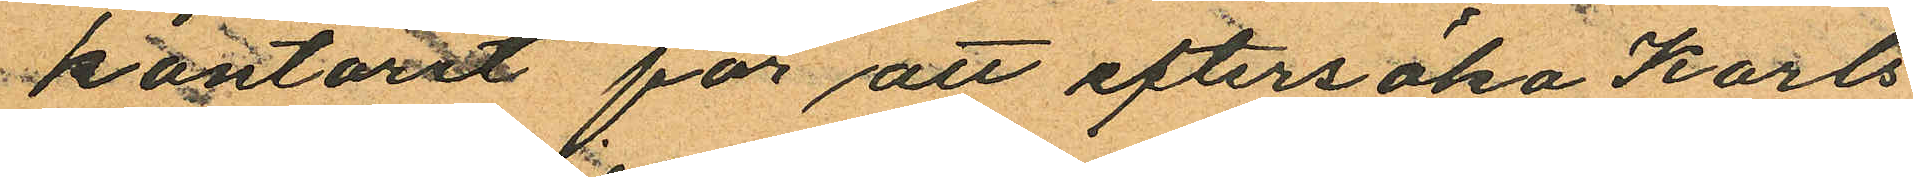kontoret för att eftersöka Karls
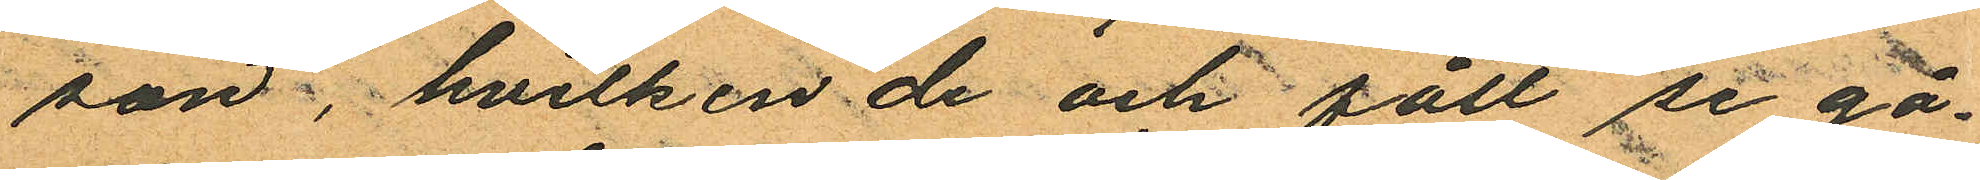son, hvilken de och fått se gå¬
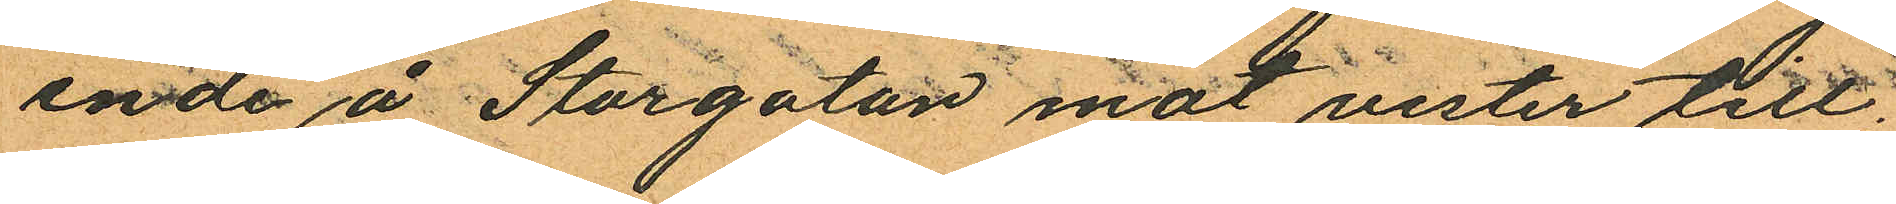ende å Storgatan mot vester till;
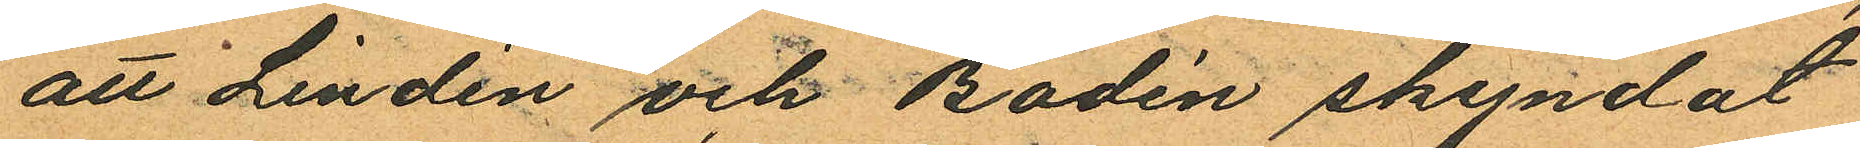att Lindén och Bodén skyndat
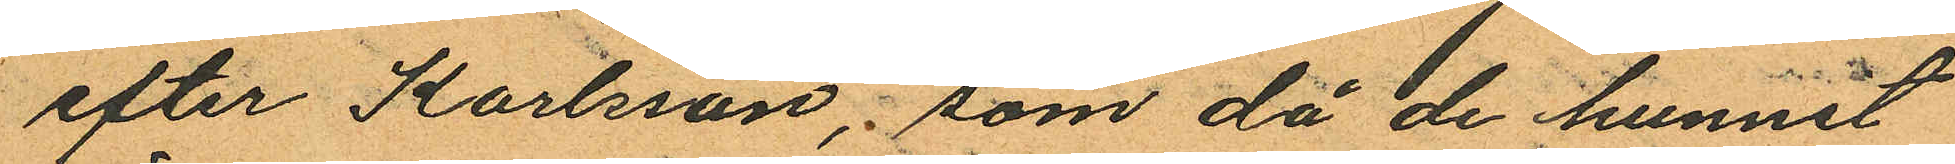efter Karlsson; som då de hunnit
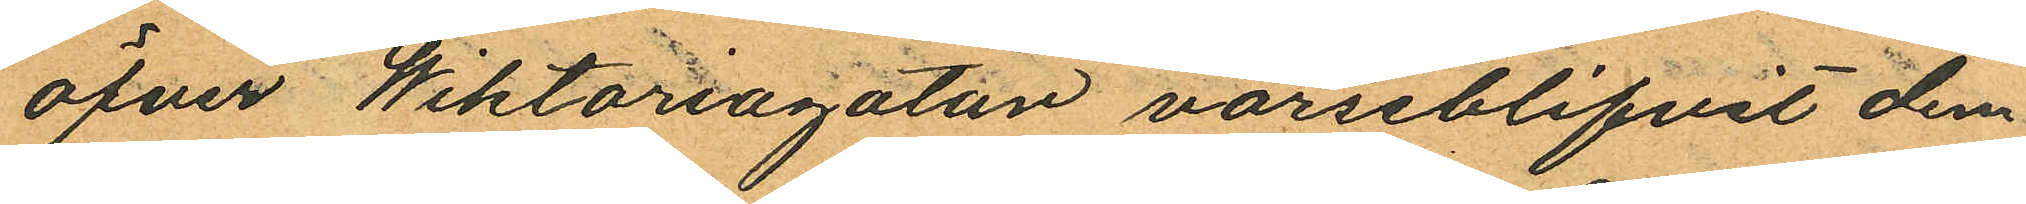öfver Wiktoriagatan varseblifvit dem
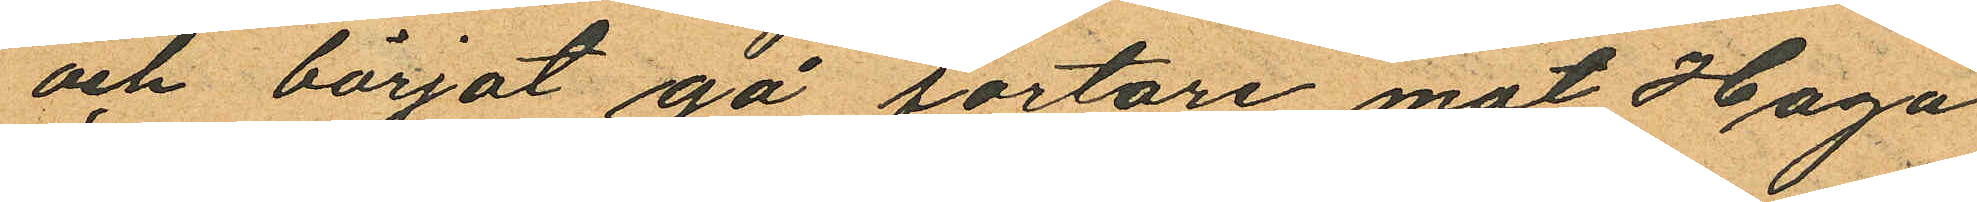och börjat gå fortare mot Haga
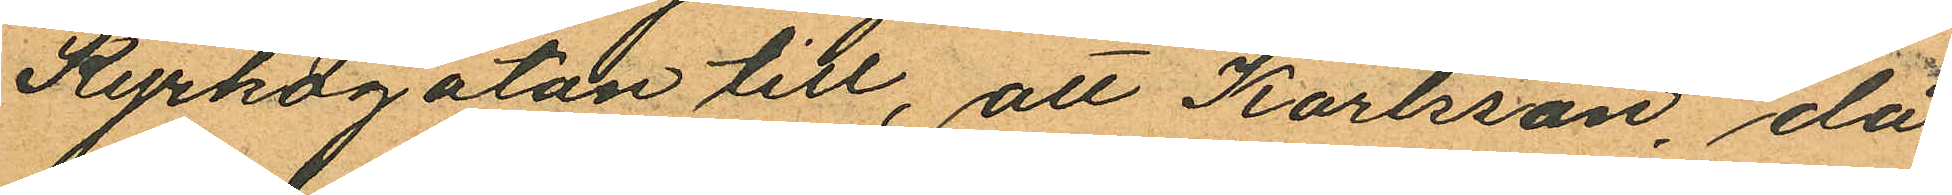Kyrkogatan till, att Karlsson, då
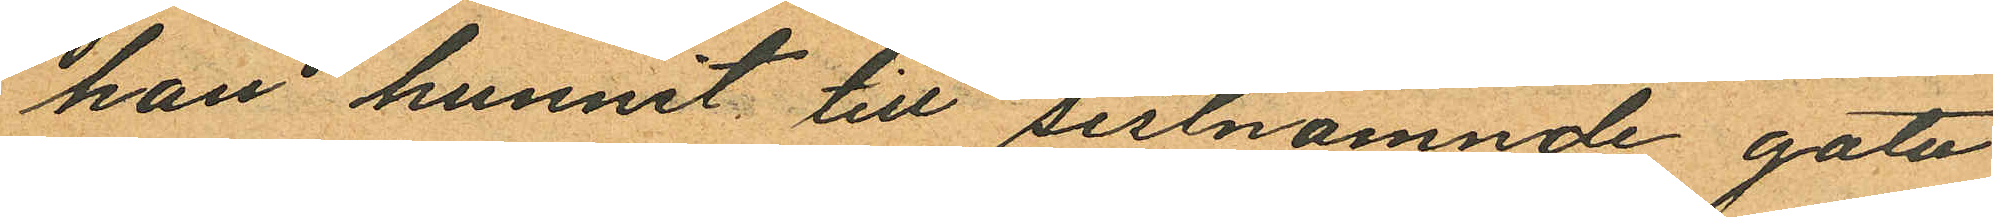han hunnit till sistnämnde gata
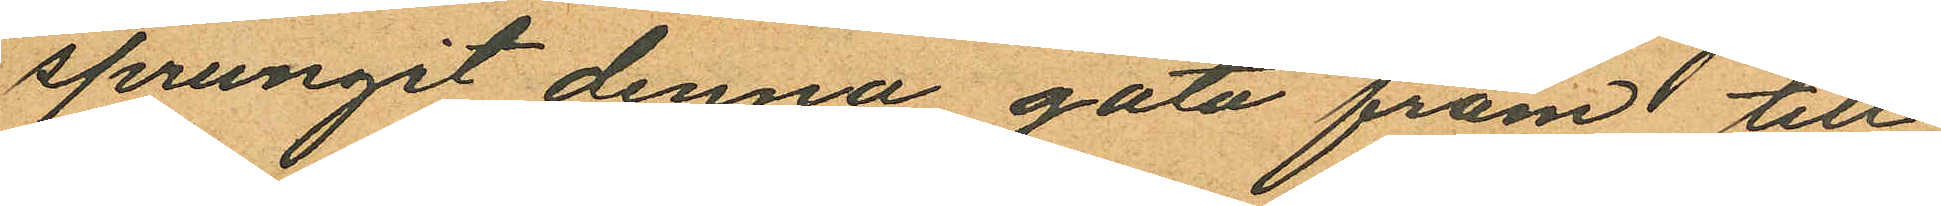sprungit denna gata fram till
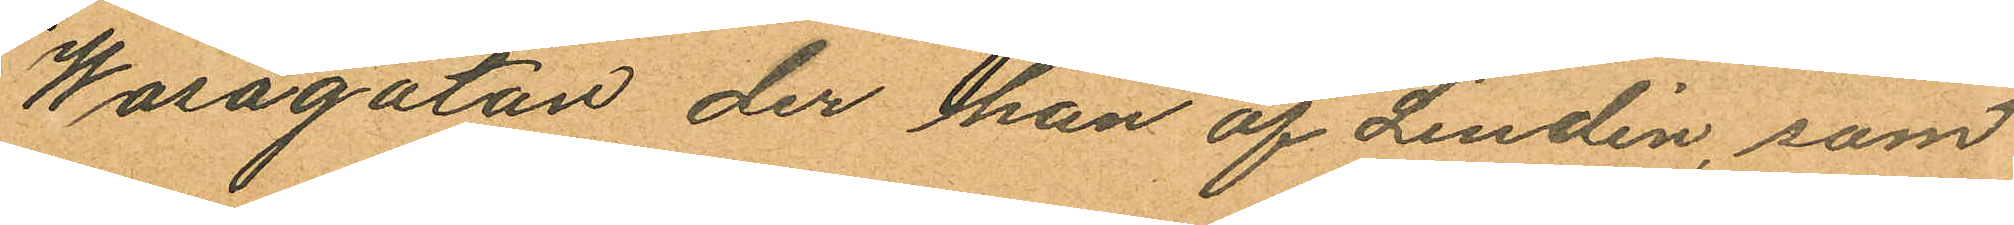Wasagatan der han af Lindén, som
